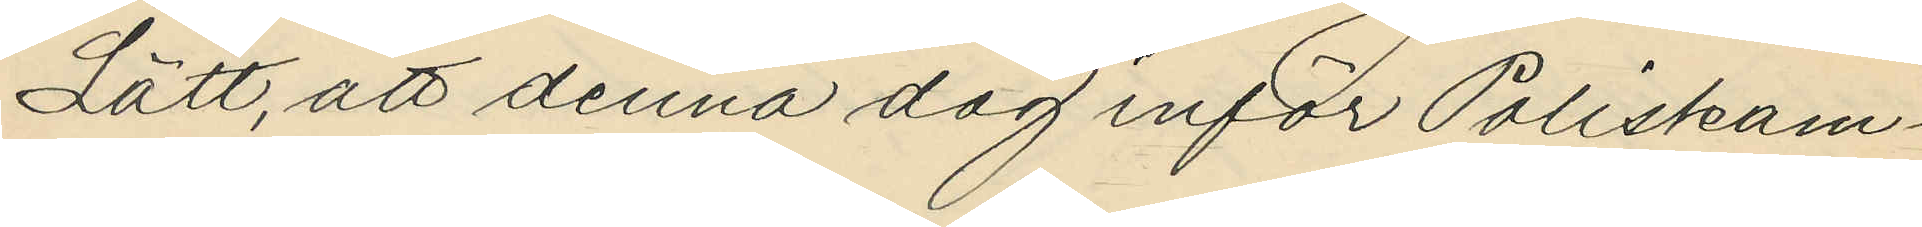Lätt, att denna dag inför Poliskam¬
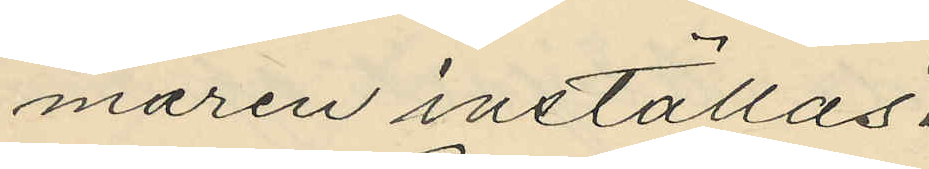maren inställas.
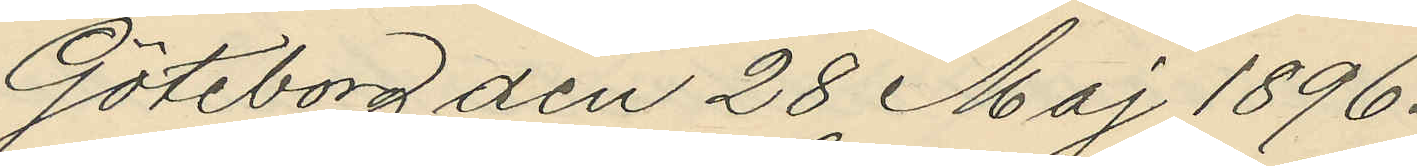Göteborg den 28 Maj 1896.
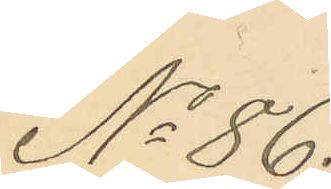No 86.
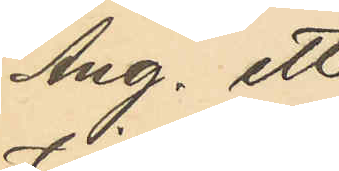Ang. ett
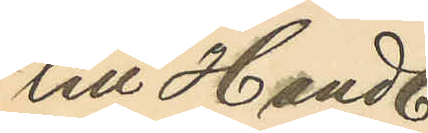till Handl.
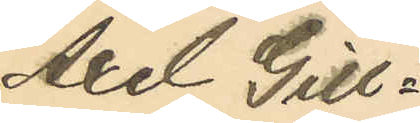Axel Gill¬
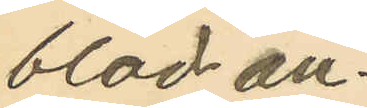blad an¬
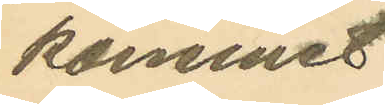kommet
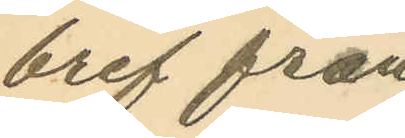bref från
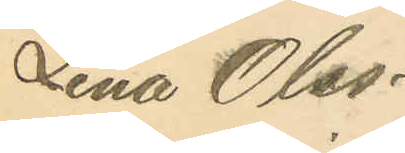Lina Olss¬
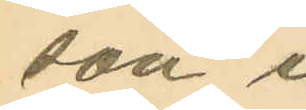son i
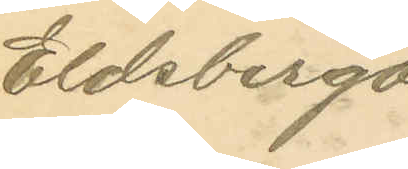Eldsberga
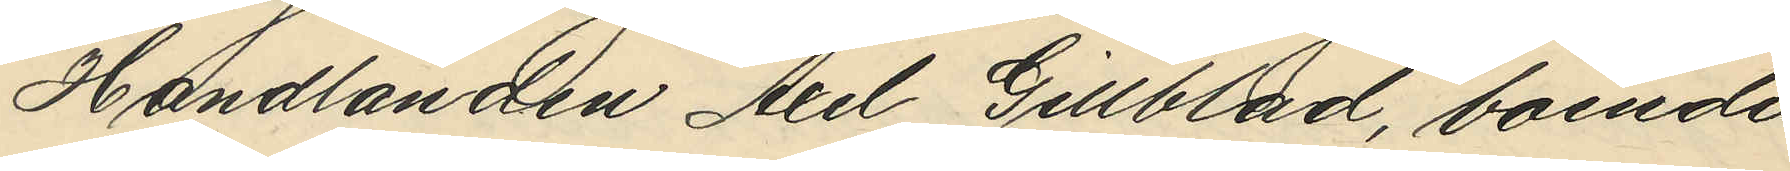Handlanden Axel Gillblad, boende
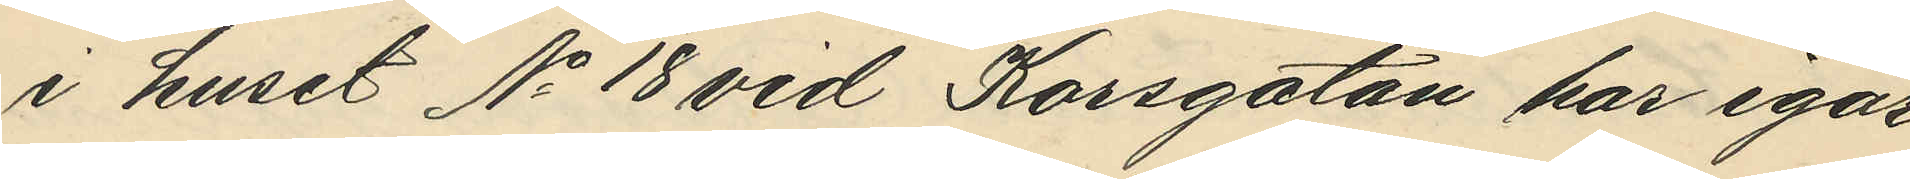i huset No 18 vid Korsgatan har igår
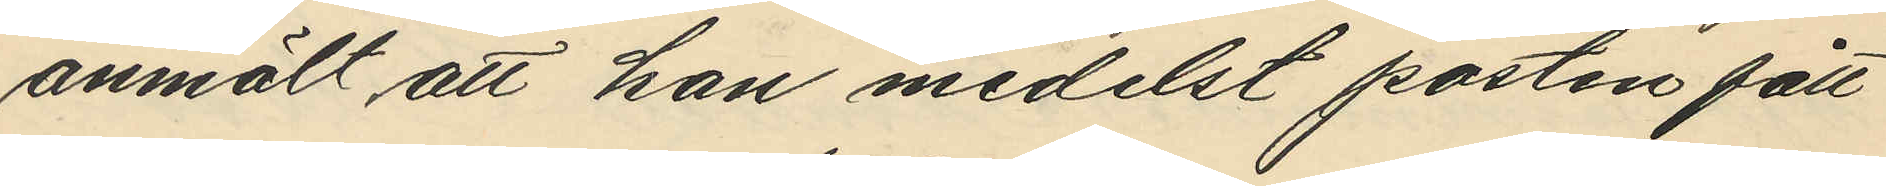anmält att han medelst posten fått
